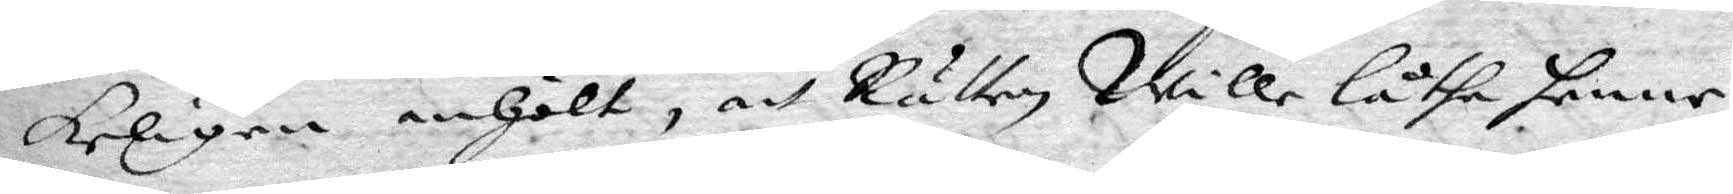keligen anhölt, att Rätten Wille låtha henne
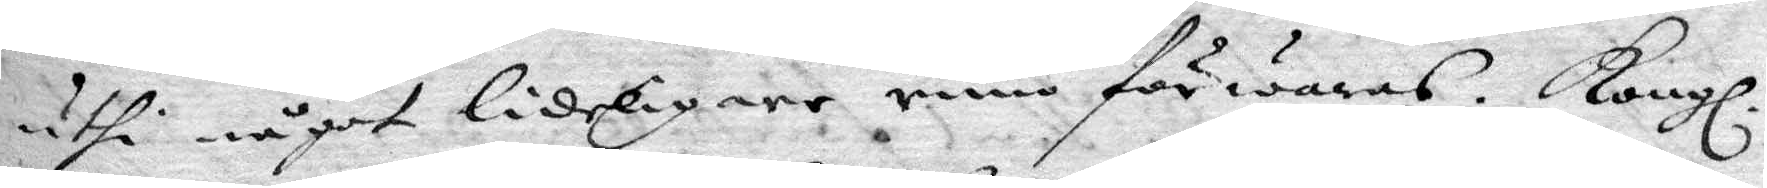uthi något lideligare rum förwaras. Kongl.
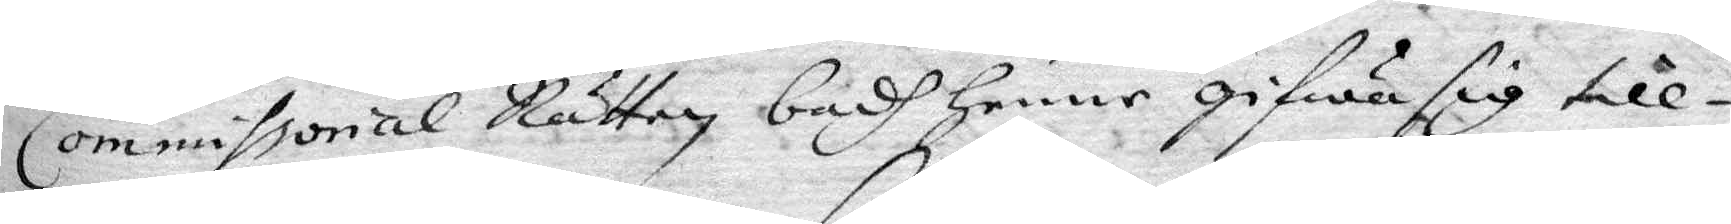Commissorial Rätten badh henne gifwa sig till¬
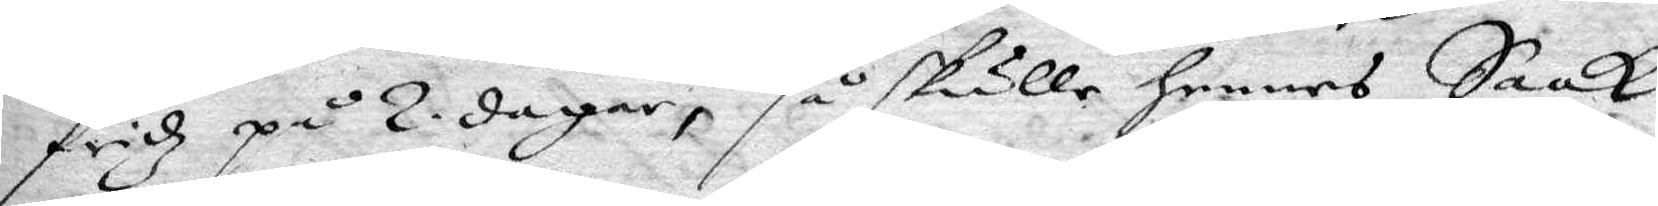fridz på 2 dagar, så skulle hennes Saak
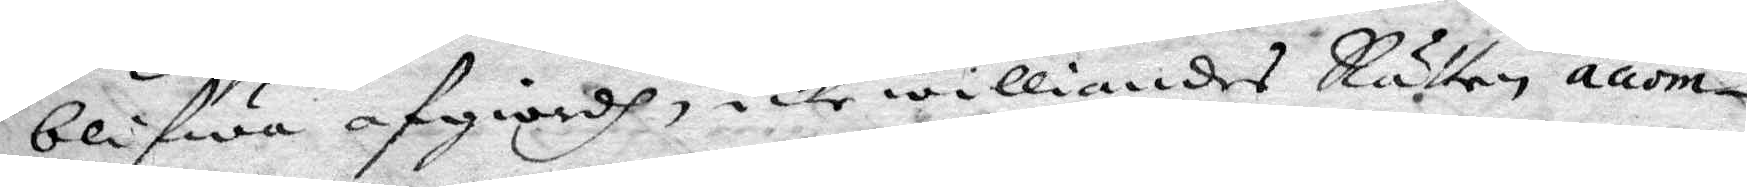blifwa afgiordh, icke williandes Rätten accom¬
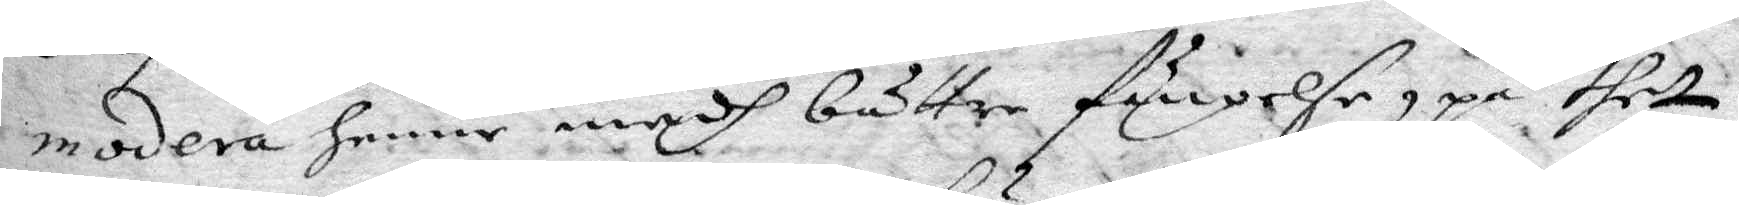modera henne medh bättre fängelse, på thet
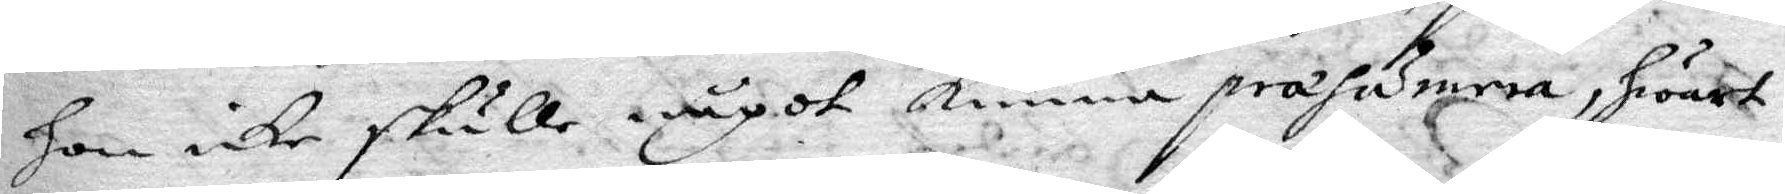hon icke skulle något kunna præsumera, hwart
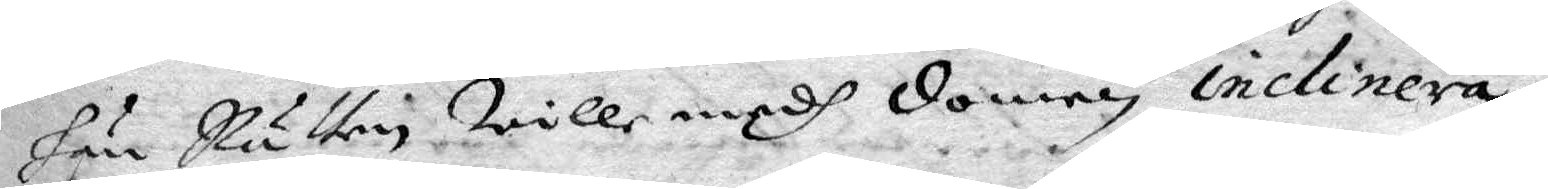hän Rätten Wille medh domen inclinera.
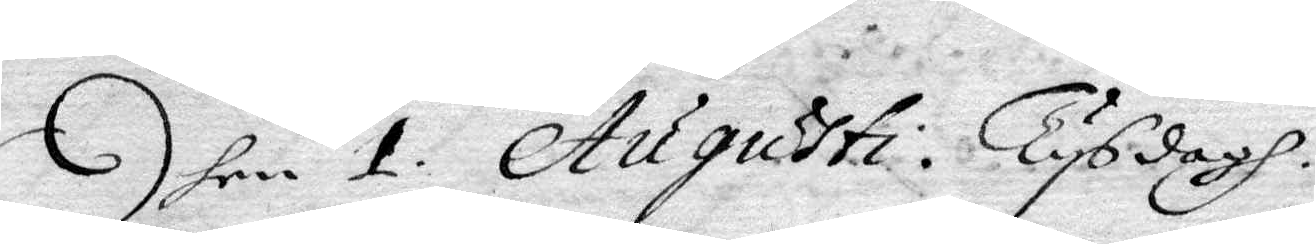Dhen 1. Augusti Tysdagh.
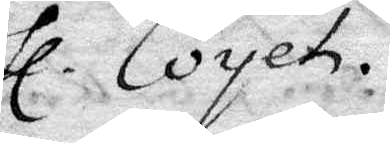Hl. Coyet.
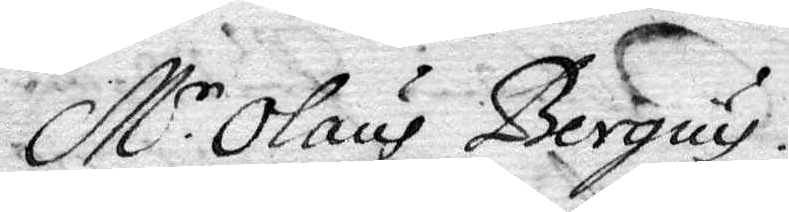M.r Olaus Bergius.
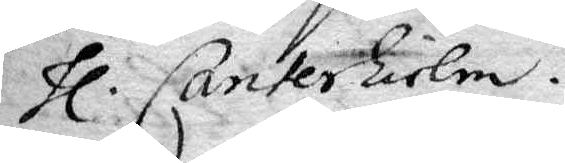Hl. Canterhielm.
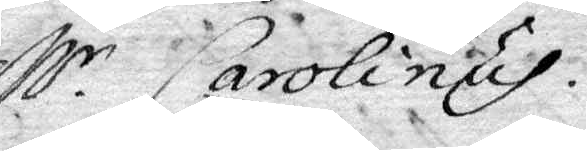M.r Carolinus.
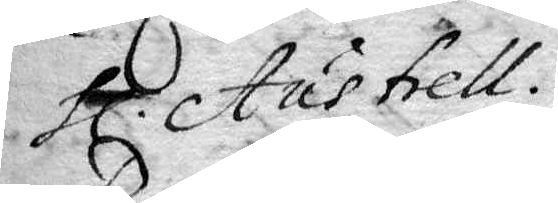Hl. Austrell.
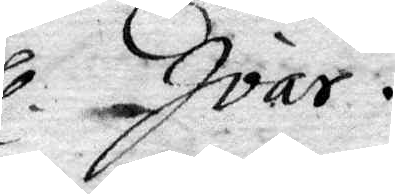Hl. Ivar.
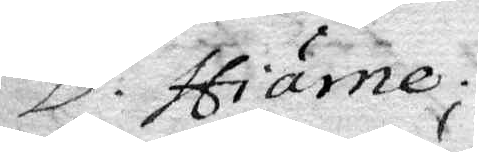D. Hiärne.
